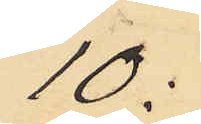10:
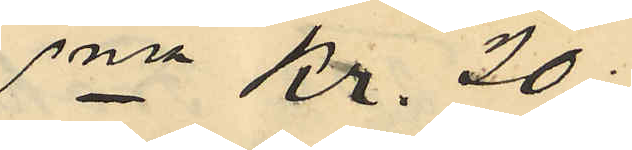Sma Kr. 20:
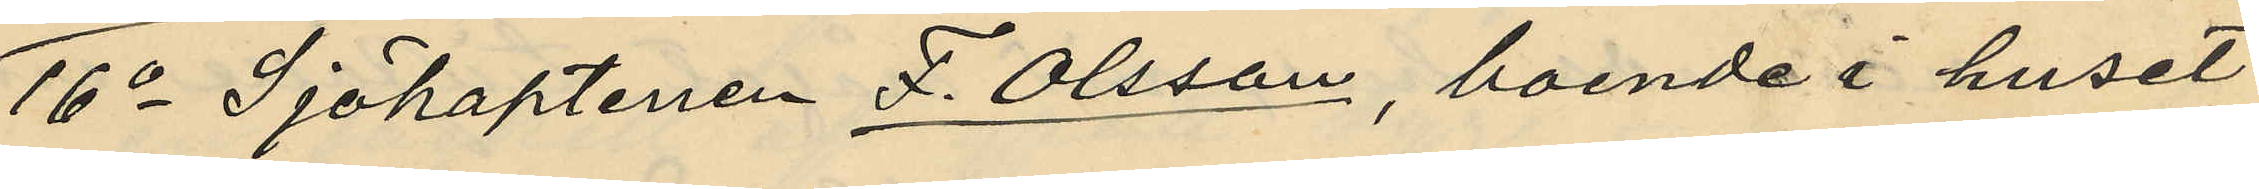16o Sjökaptenen F. Olsson, boende i huset
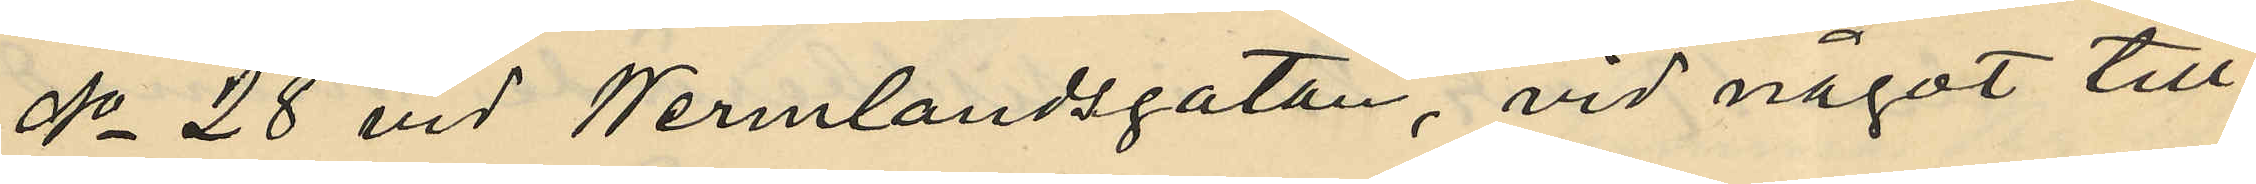No 28 vid Wermlandsgatan, vid något till¬
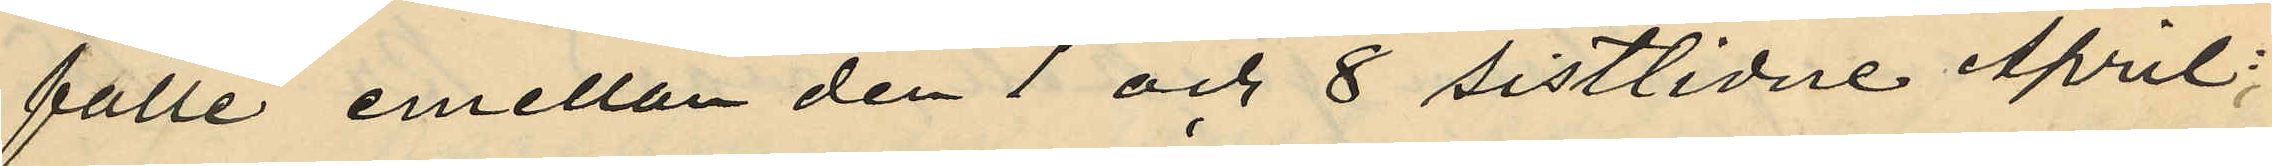fälle emellan den 1 och 8 sistlidne April;
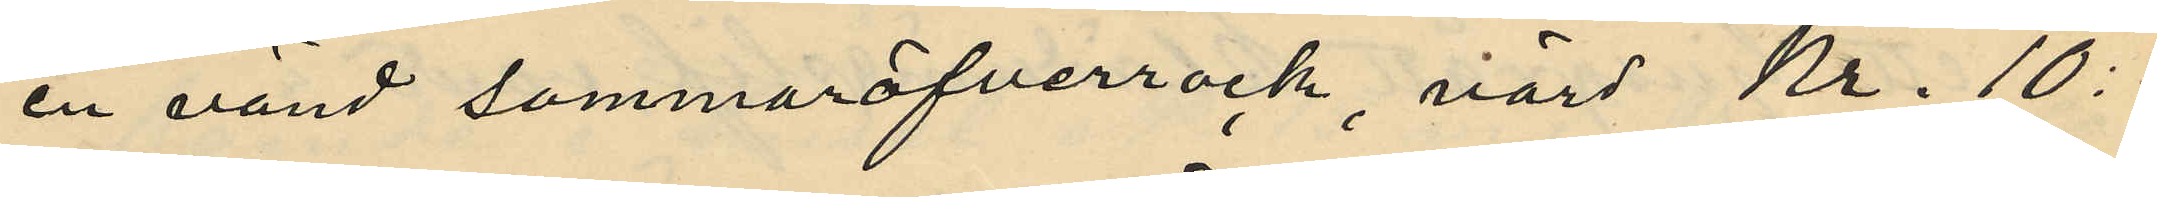en använd sommaröfverrock, värd Kr. 10:
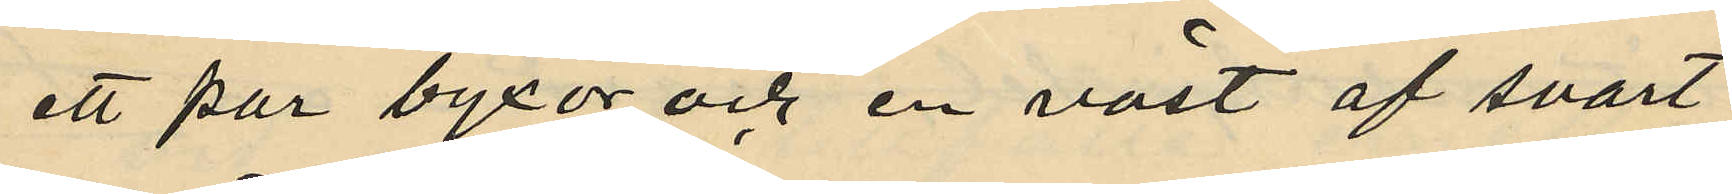ett par byxor och en väst af svart
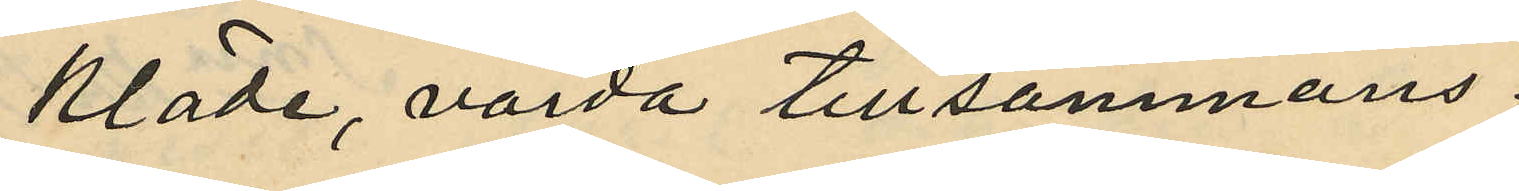kläde, värda tillsammans
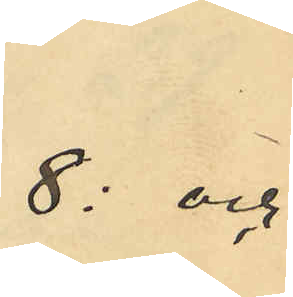8: och
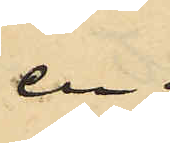en
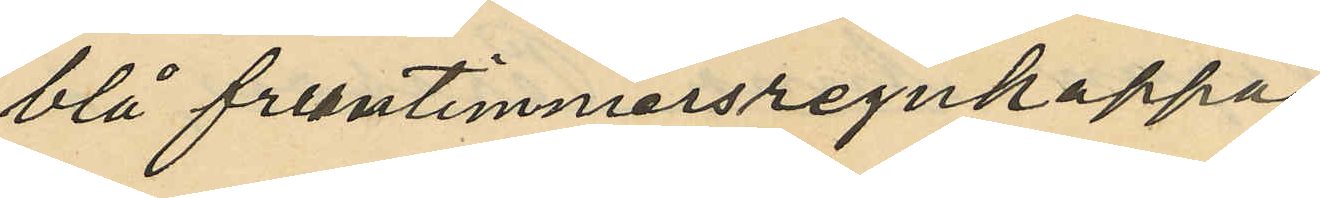blå fruntimmersregnkappa,
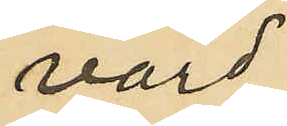värd
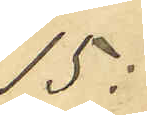15:
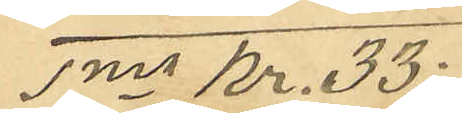Sma Kr. 33:
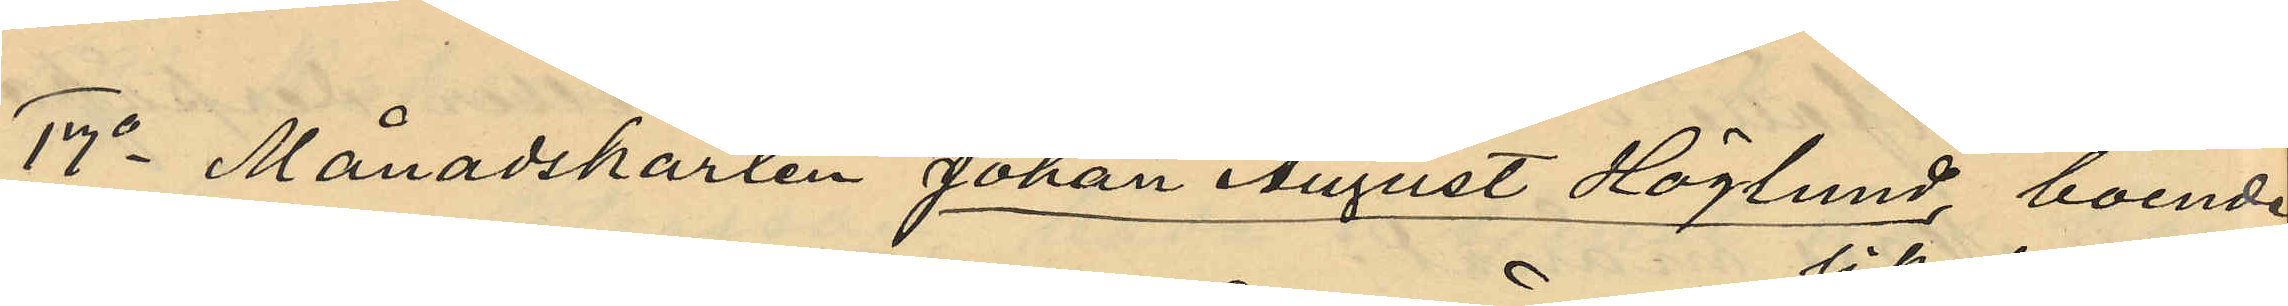17o Månadskarlen Johan August Höglund, boende
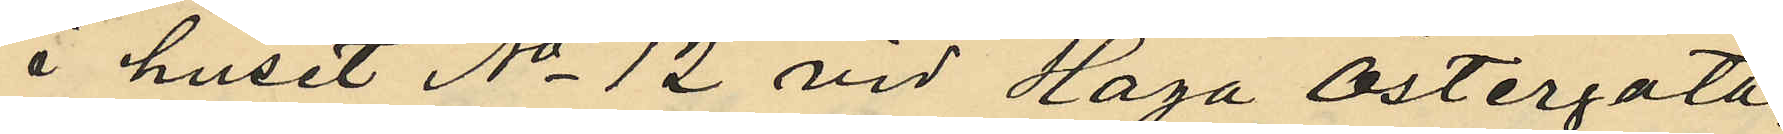i huset No 12 vid Haga Östergata,
